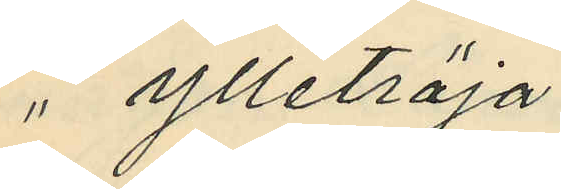" ylletröja
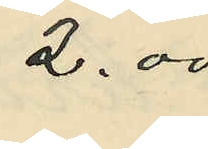2.00
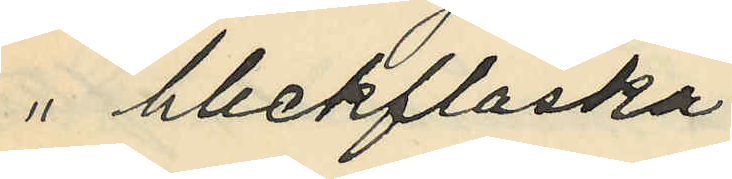" bleckflaska
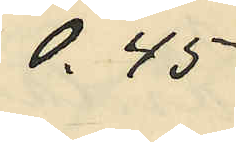0.45
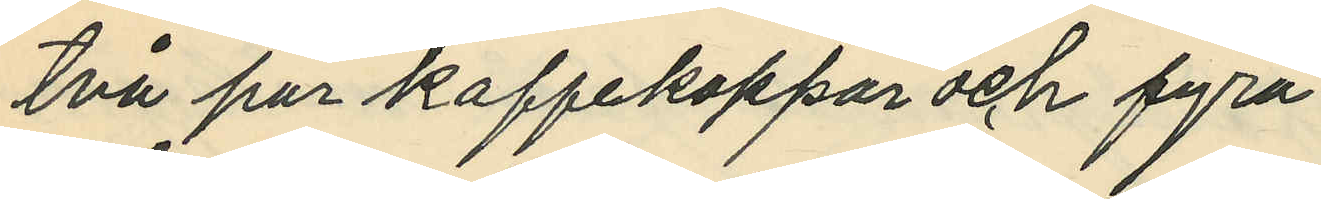två par kaffekoppar och fyra
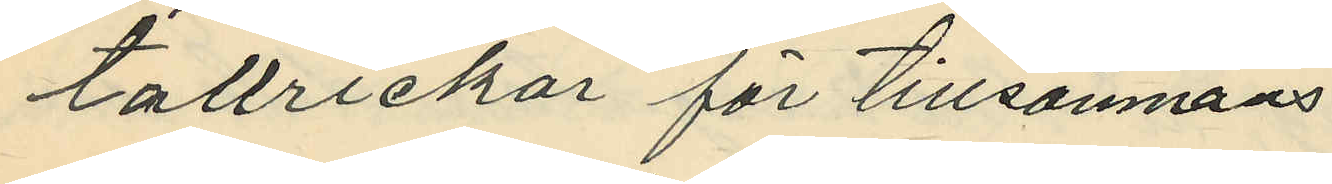tallrickar för tillsammans
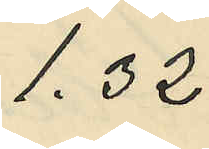1.32
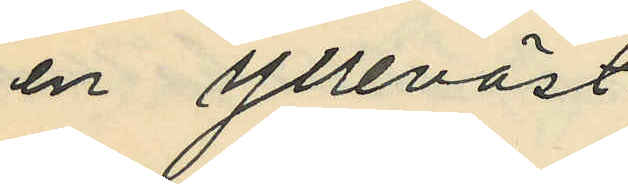en ylleväst
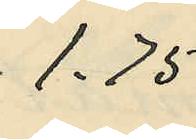1.75
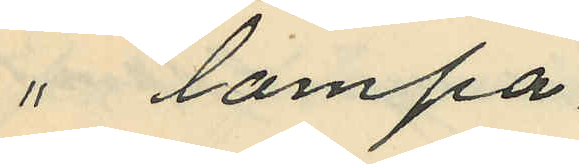" lampa
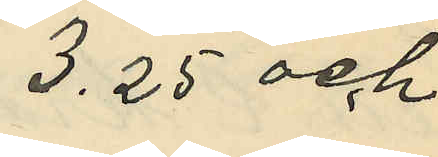3.25 och
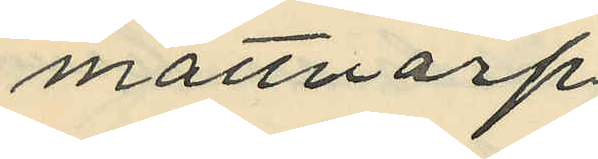mattvarp
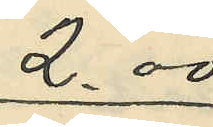2.00
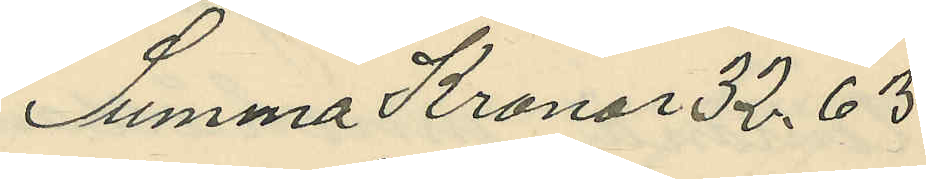Summa Kronor 32,63
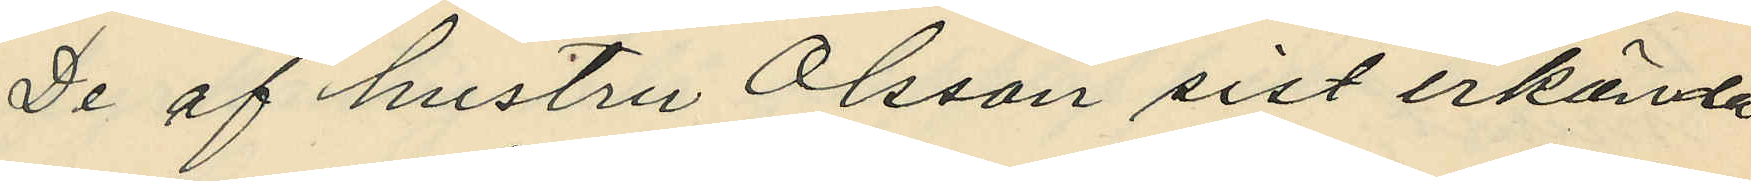De af hustru Olsson sist erkända
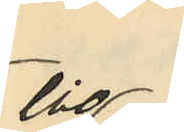tio
